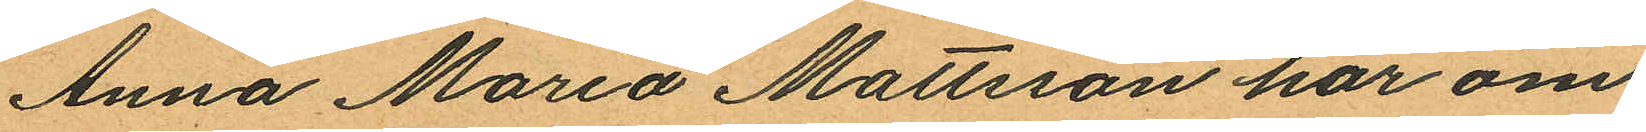Anna Maria Mattsson har om
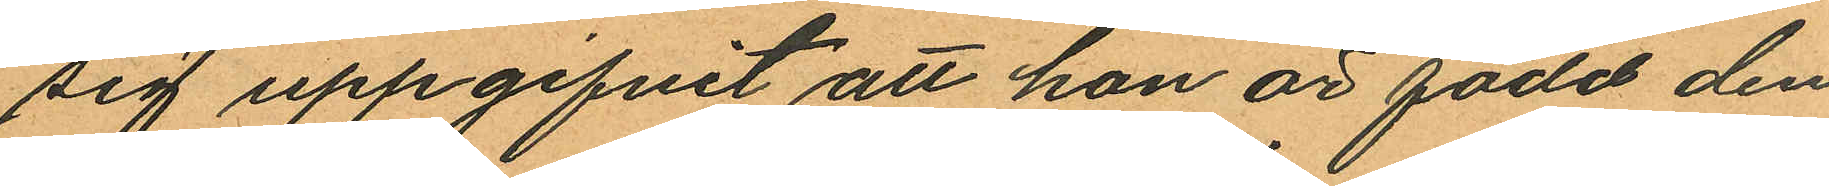sig uppgifvit att hon är född den
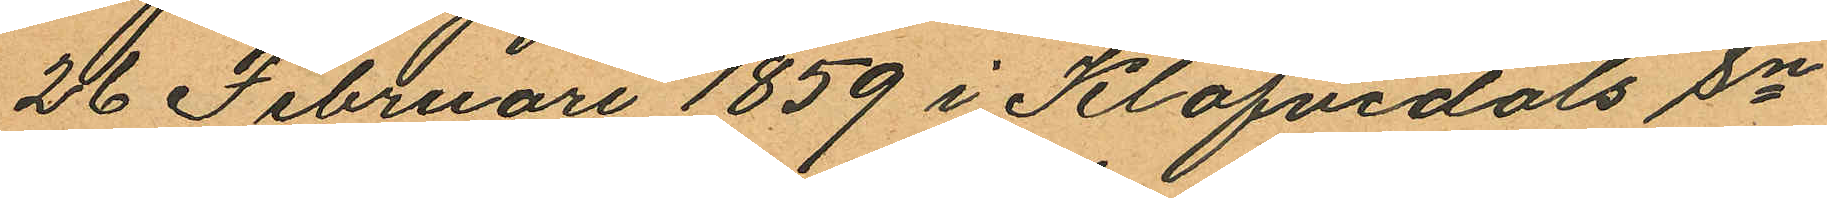26 Februari 1859 i Klöfvedals Sn
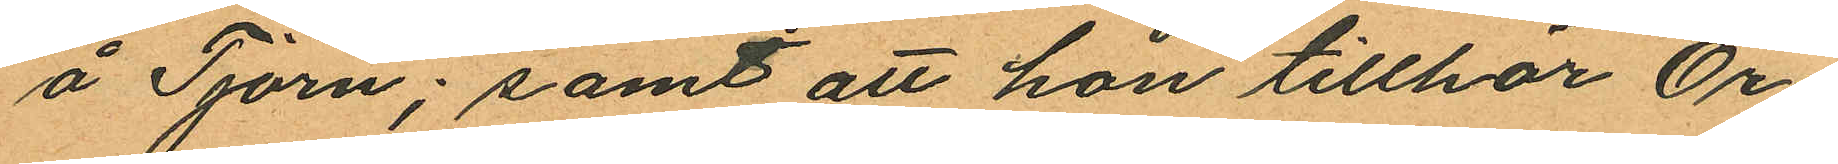å Tjörn; samt att hon tillhör Ör¬
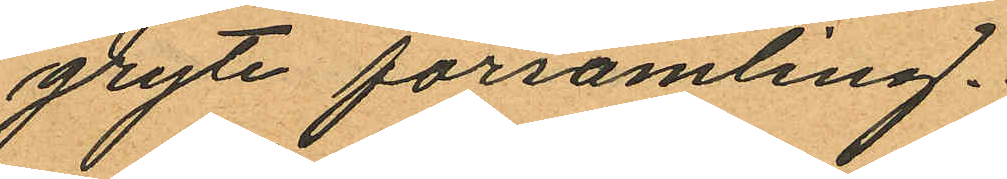gryte församling.
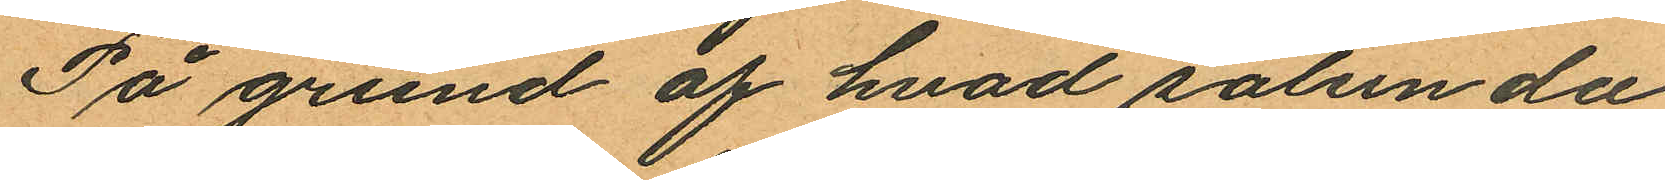På grund af hvad sålunda
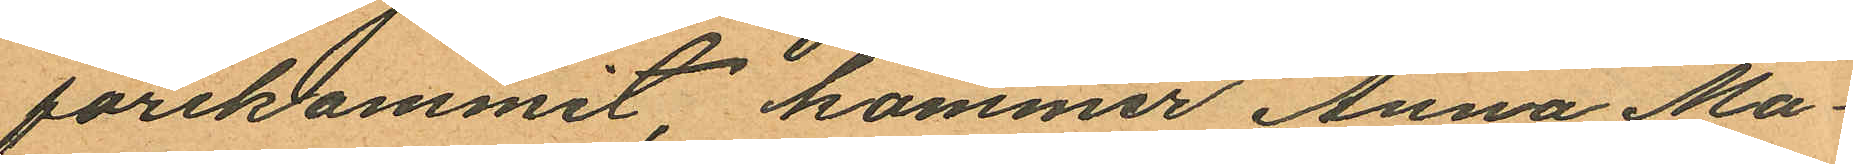förekommit, kommer Anna Ma¬
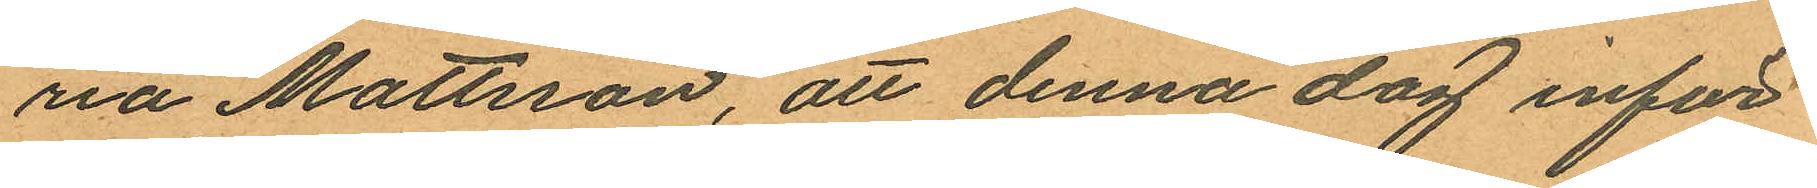na Mattsson, att denna dag inför
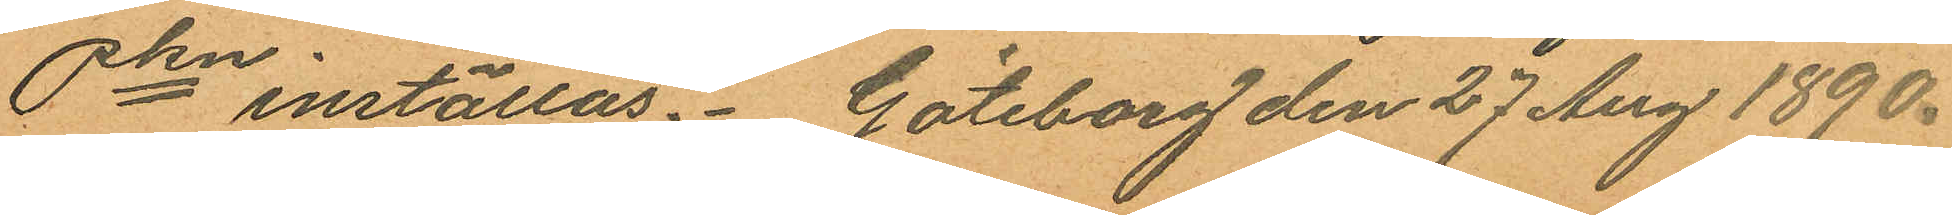Pkn inställas. Göteborg den 27 Aug 1890.
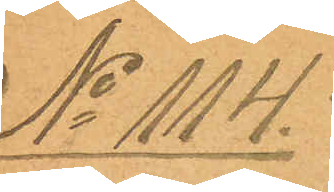No 114.
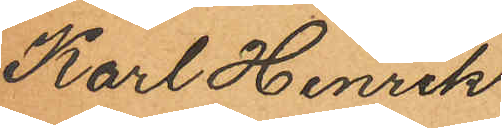Karl Henrik
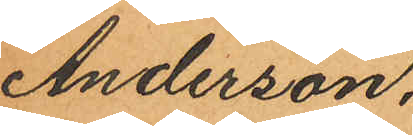Anderson.
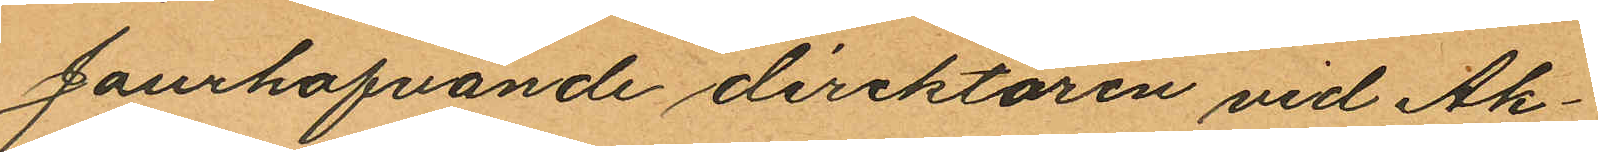Jourhafvande direktören vid Ak¬
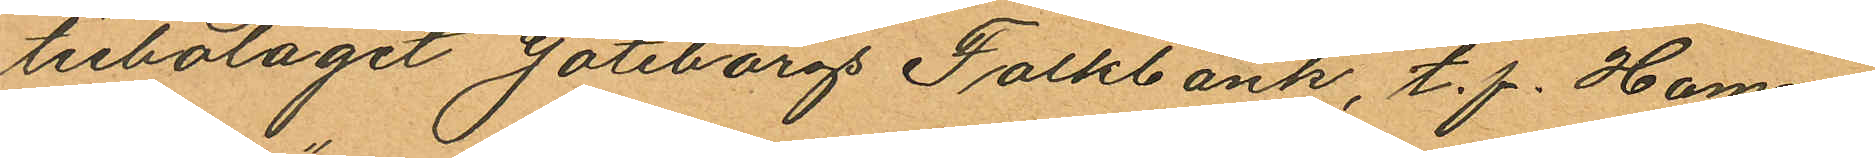tiebolaget Göteborgs Folkbank, t.f. Hamn¬
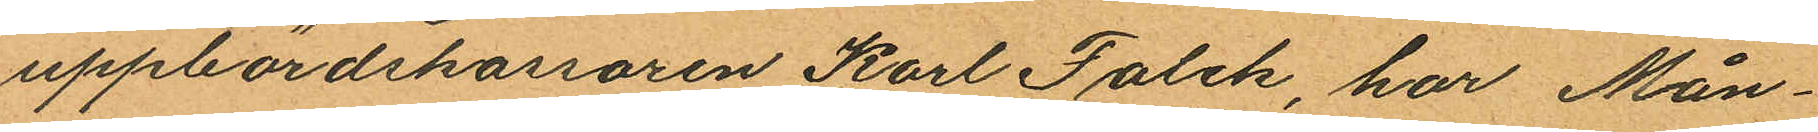uppbördskassoren Karl Falck, har Mån¬
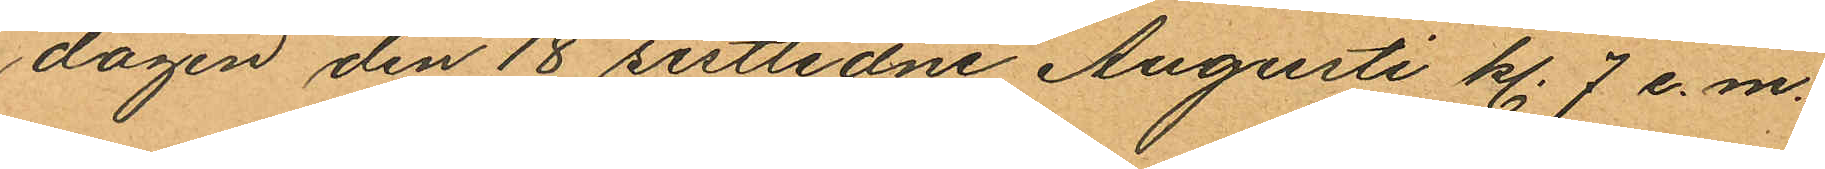dagen den 18 sistlidne Augusti kl. 7 e.m.
